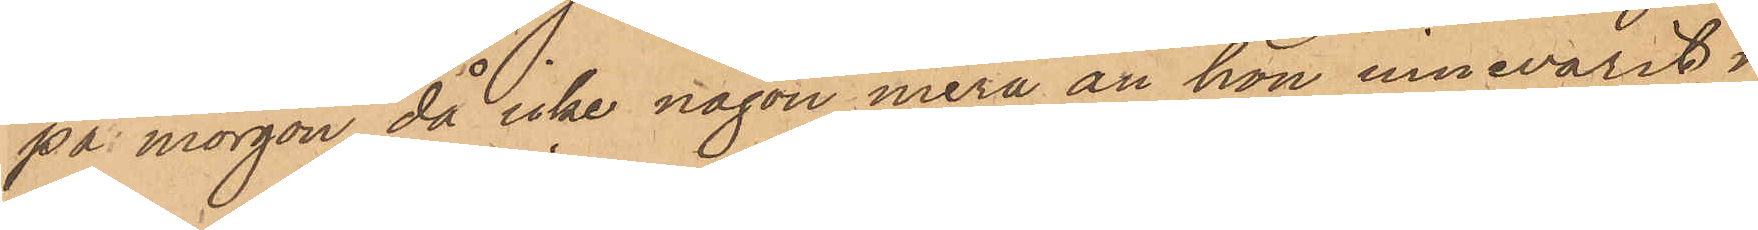på morgon, då icke någon mera än hon innevarit i
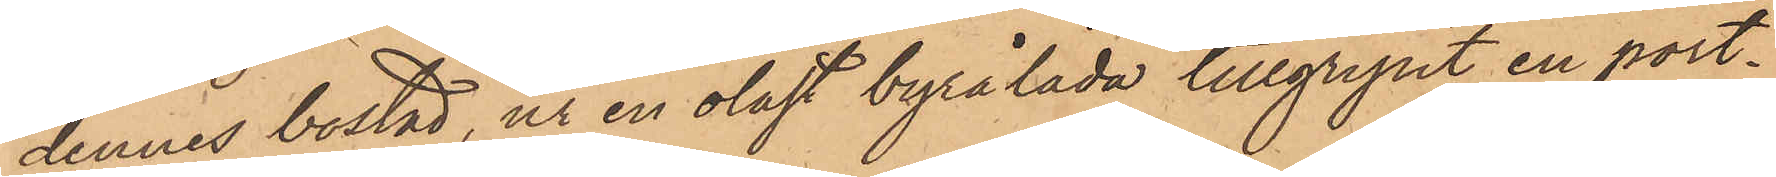dennes bostad, ur en olåst byrålåda tillgripit en port¬
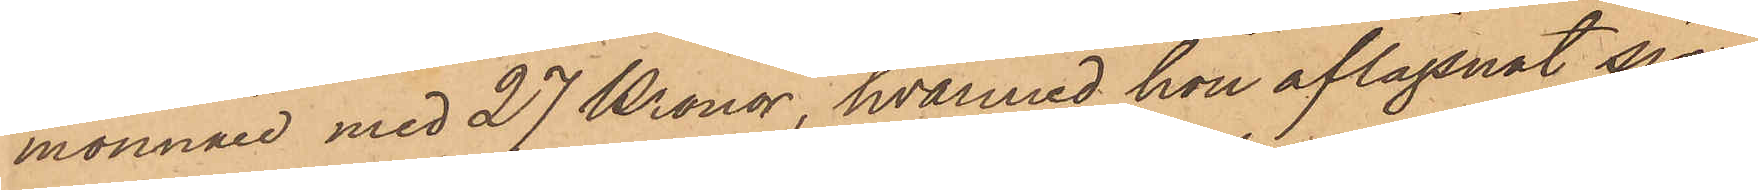monnaie med 27 Kronor, hvarmed hon aflägsnat sig
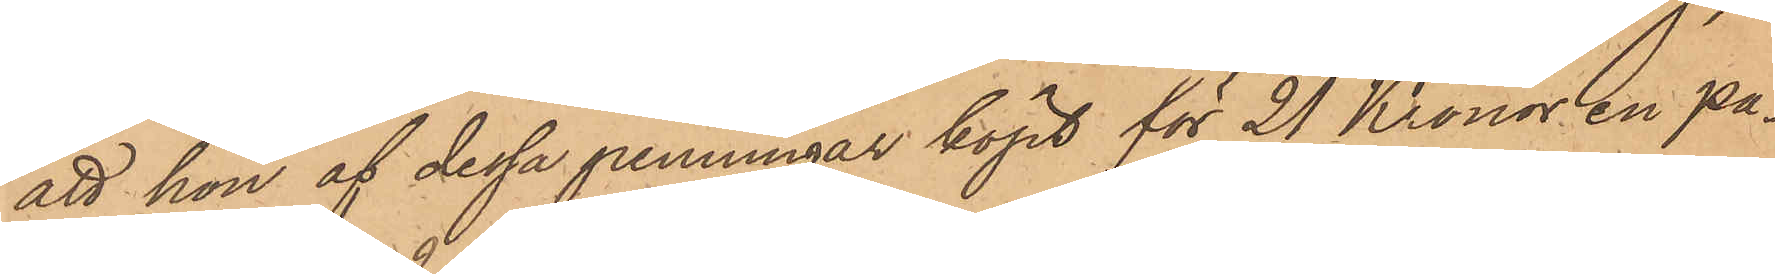att hon af dessa penningar köpt för 21 Kronor en pa¬
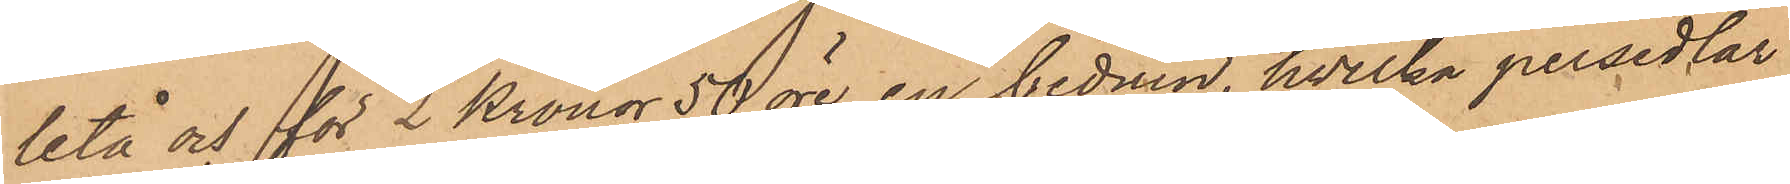letå och för 2 Kronor 50 öre en beduin, hvilka persedlar
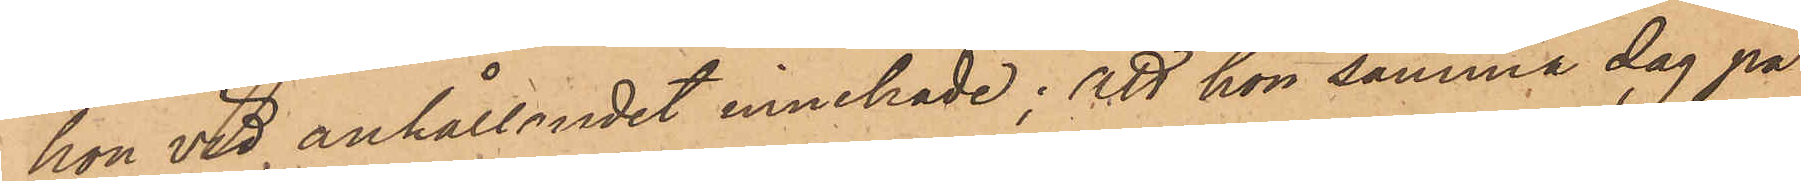hon vid anhållandet innehade; att hon samma dag på
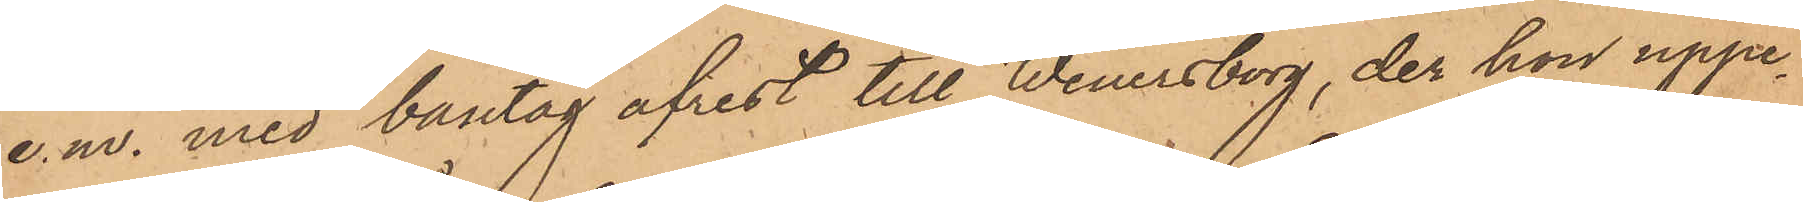e. m. med bantåg afrest till Wenersborg, der hon uppe¬
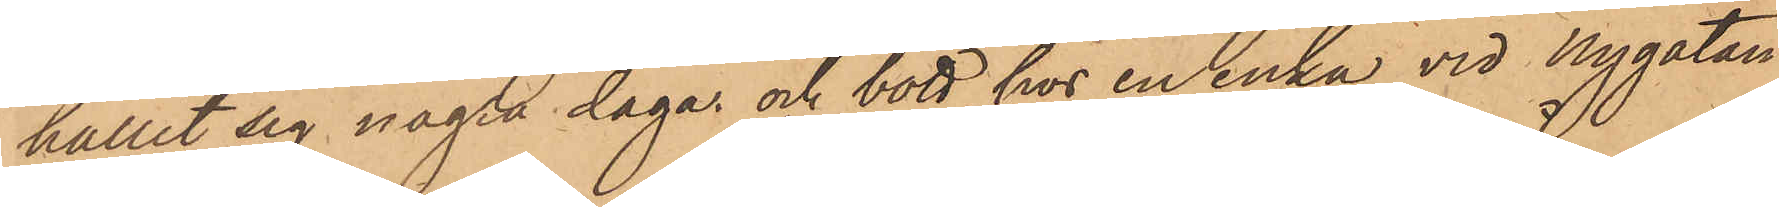hållit sig några dagar och bott hos en enka vid Nygatan
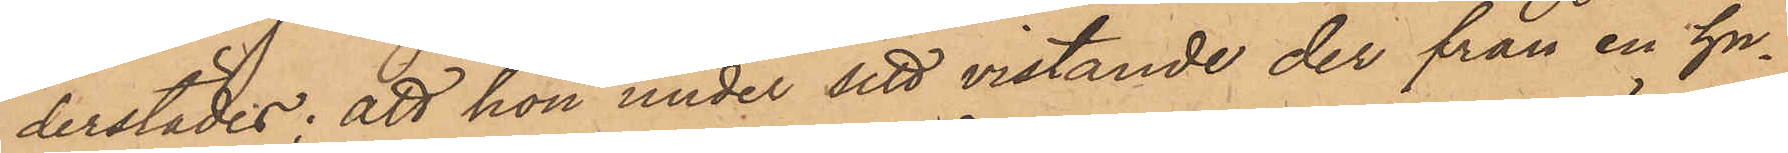derstädes; att hon under sitt vistande der från en hu¬
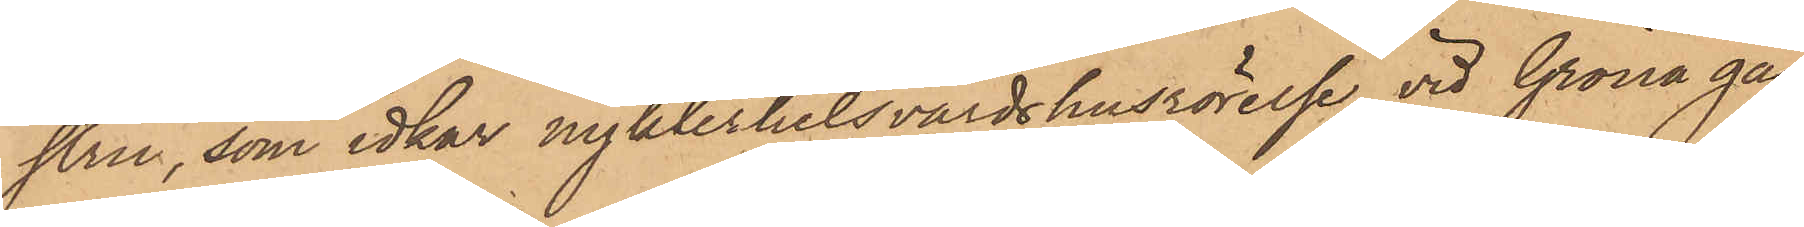stru, som idkar nykterhetsvärdshusrörelse vid Gröna gån¬
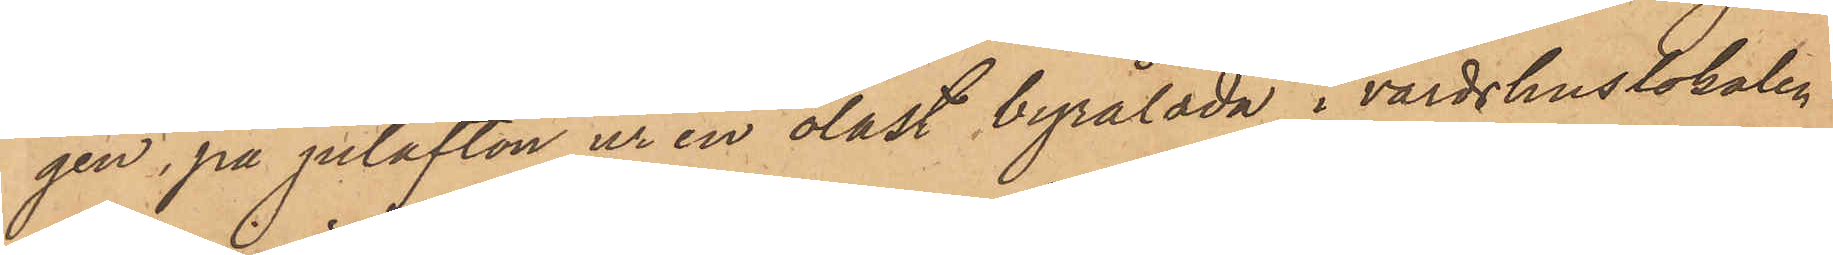gen, på julafton ur en olåst byrålåda i värdshuslokalen,
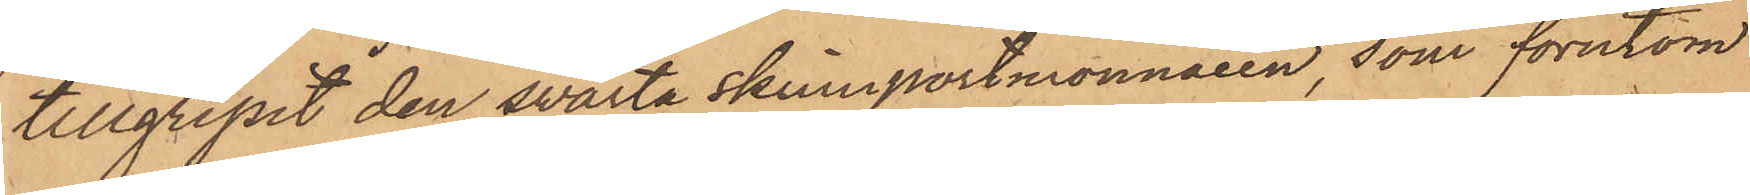tillgripit den svarta skinnportmonnaien, som förutom
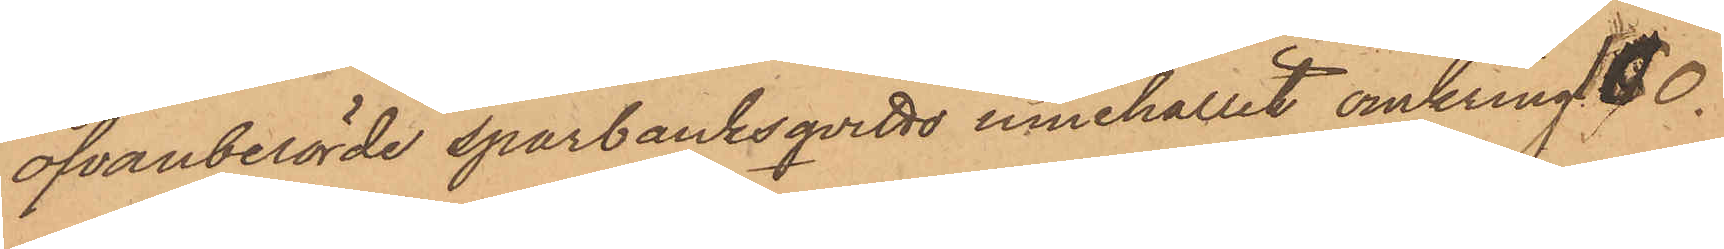ofvanberörde sparbanksqvitto innehållit omkring 100.
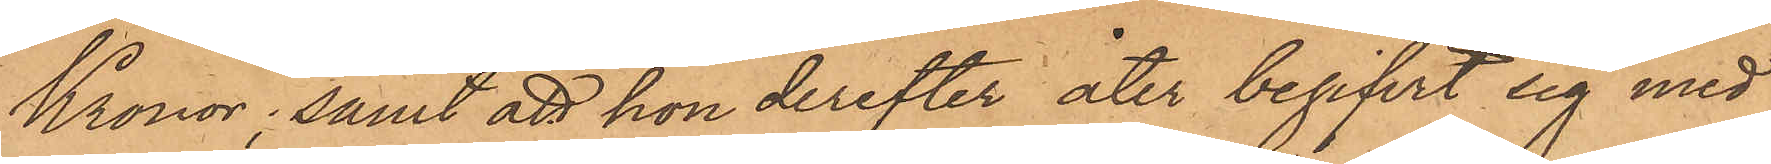Kronor; samt att hon derefter åter begifvit sig med
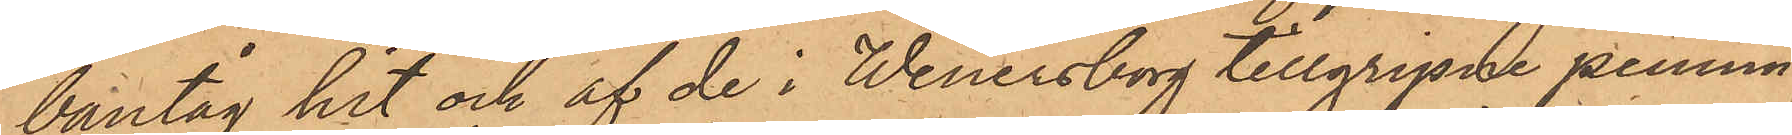bantåg hit och af de i Wenersborg tillgripne pennin¬
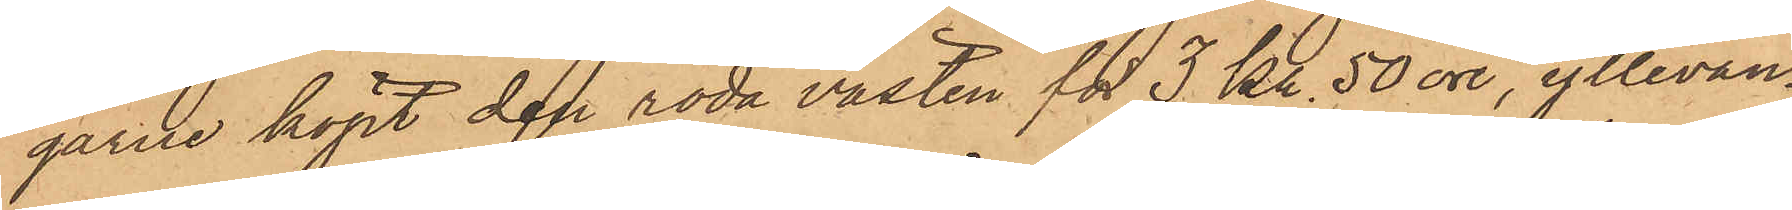garne köpt den röda västen för 3 Kr. 50 öre, yllevan¬
